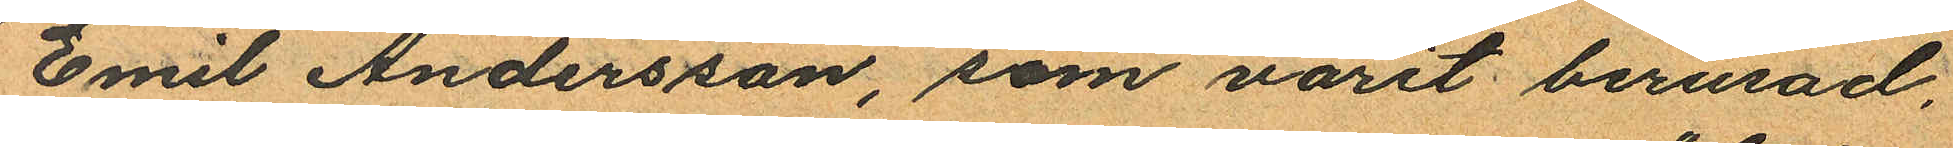Emil Andersson, som varit berusad,
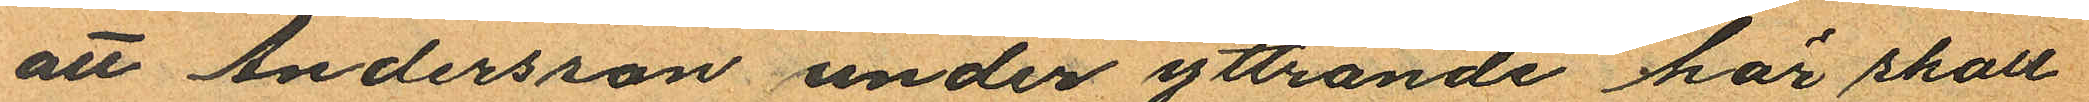att Andersson under yttrande "här skall
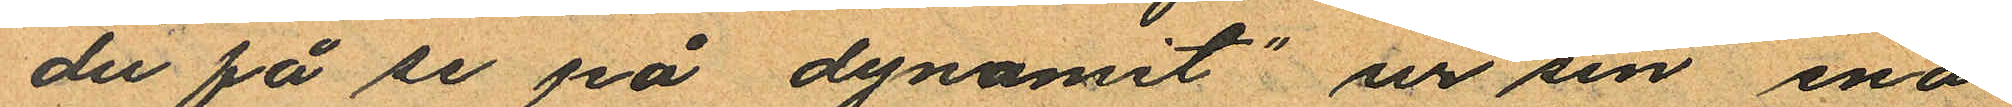du få se på dynamit" ur sin ena
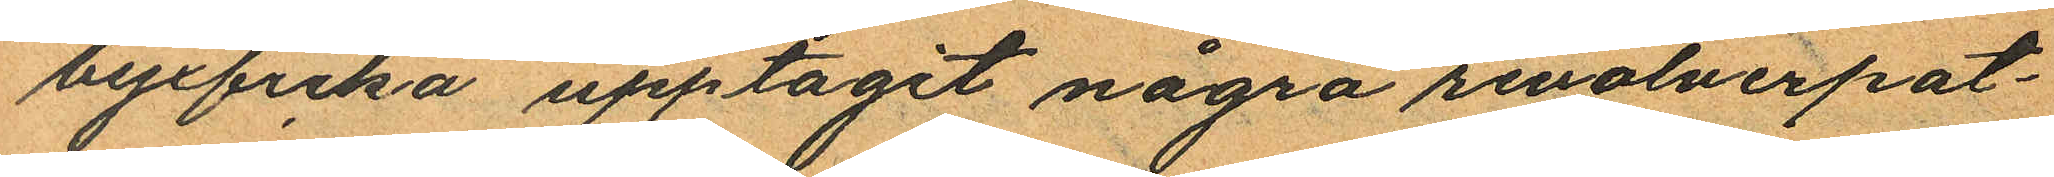byxficka upptagit några revolverpat¬
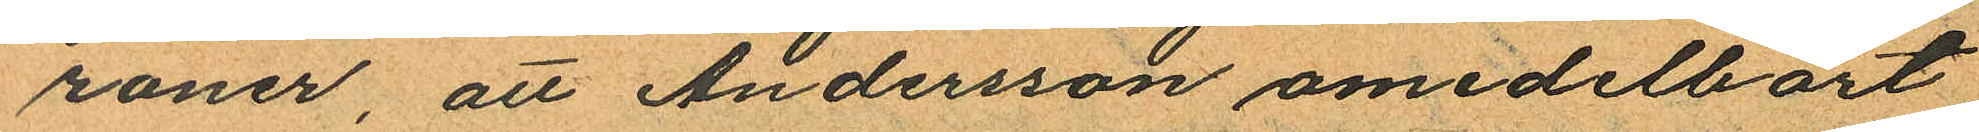roner, att Andersson omedelbart
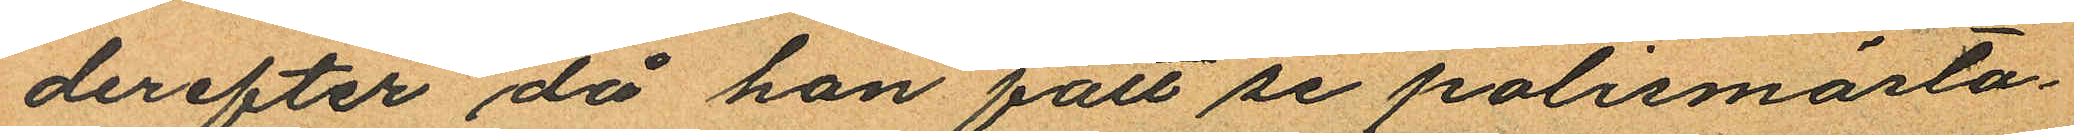derefter då han fått se polismästa¬
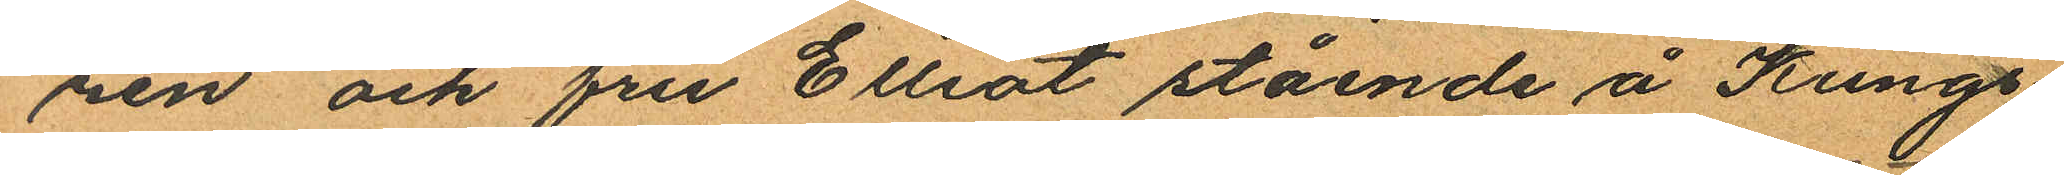ren och fru Elliot stående å Kungs¬
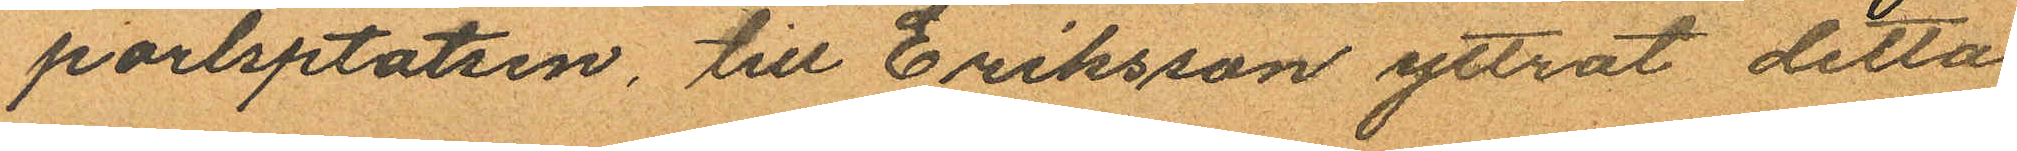porlsptatsen, till Eriksson yttrat detta
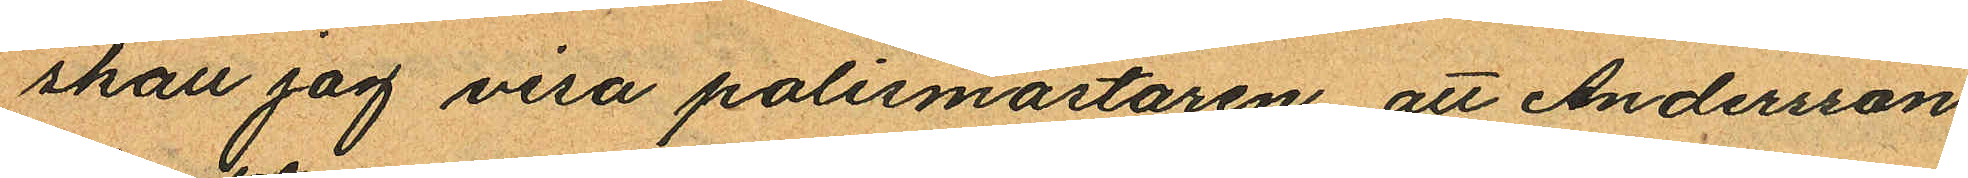skall jag visa polismästaren att Andersson
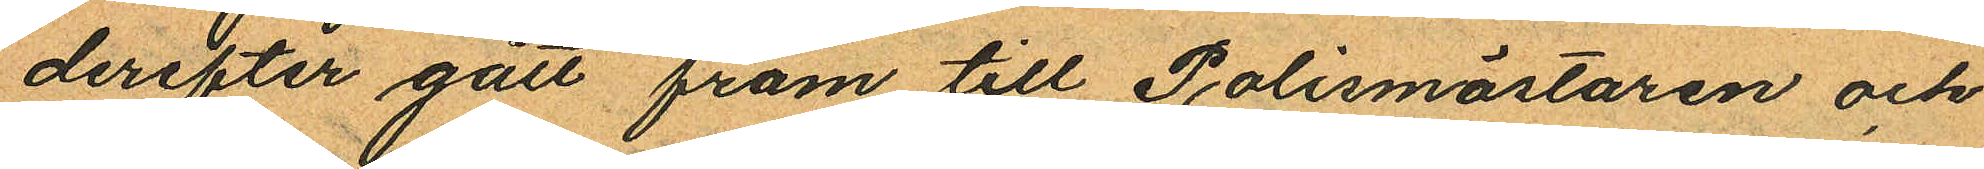derefter gått fram till Polismästaren och
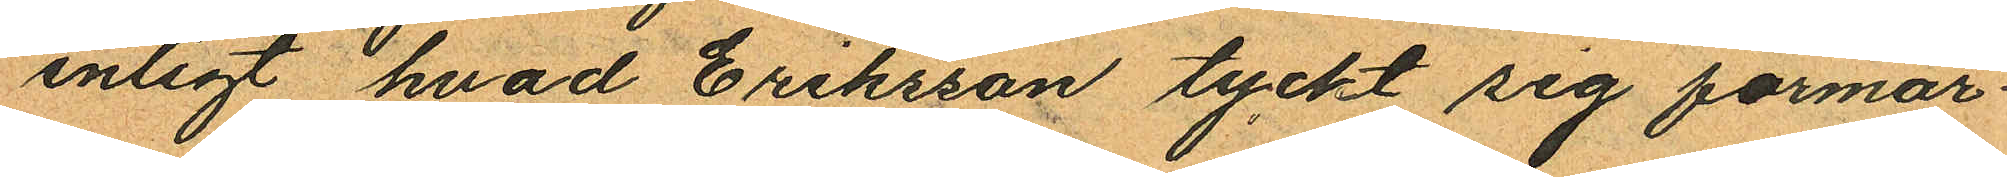enligt hvad Eriksson tyckt sig förmär¬
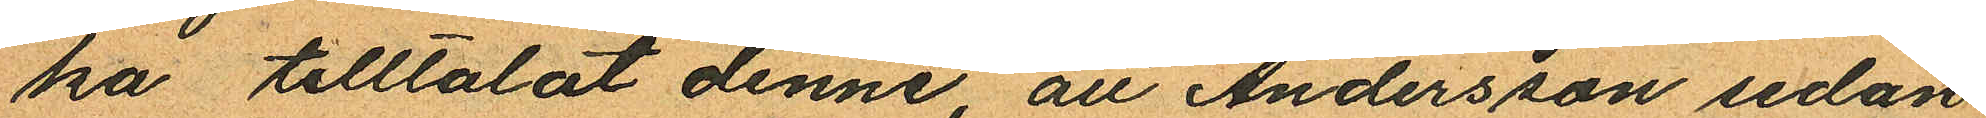ka tilltalat denne, att Andersson sedan
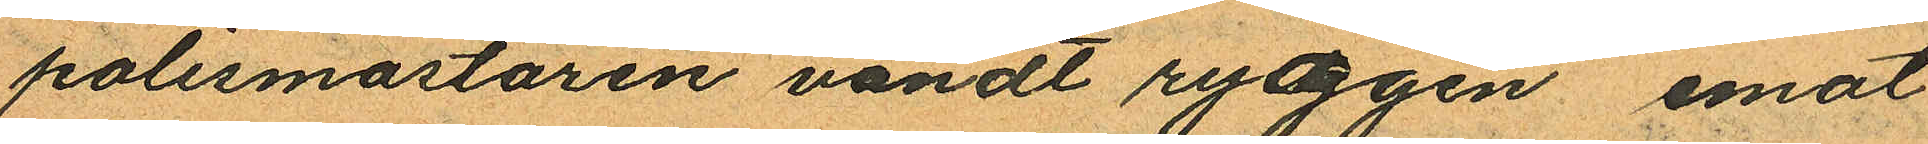polismästaren vändt ryggen emot
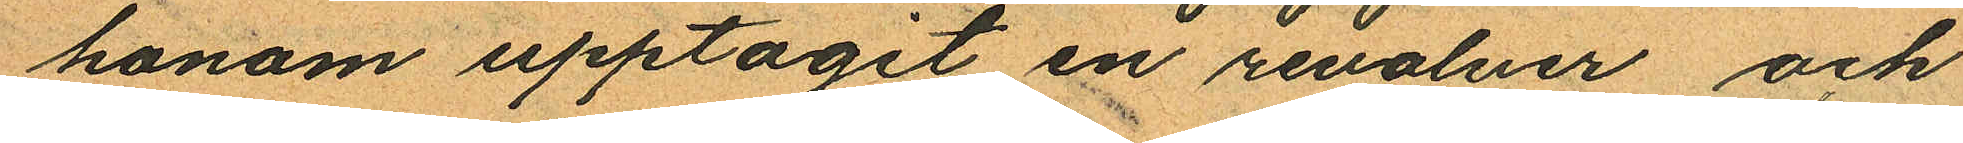honom upptagit en revolver och
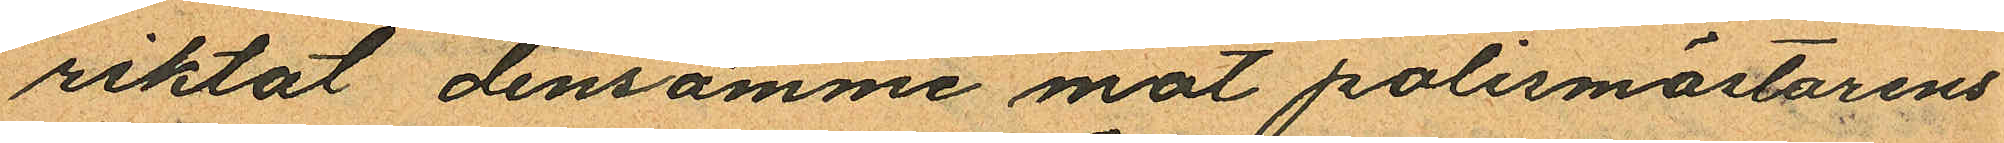riktat densamme mot polismästarens
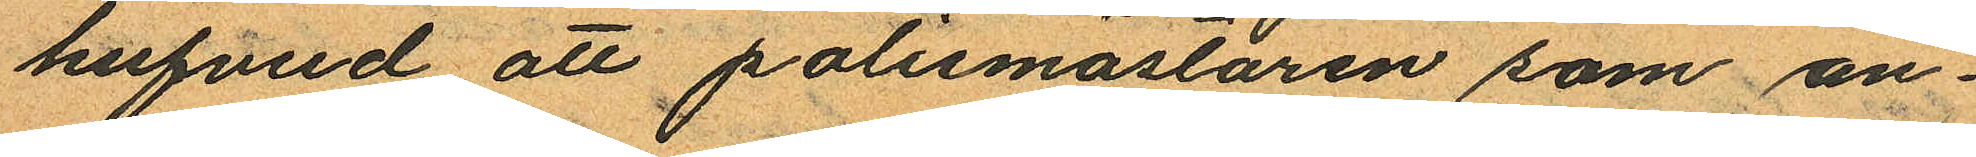hufvud att polismästaren som an¬
